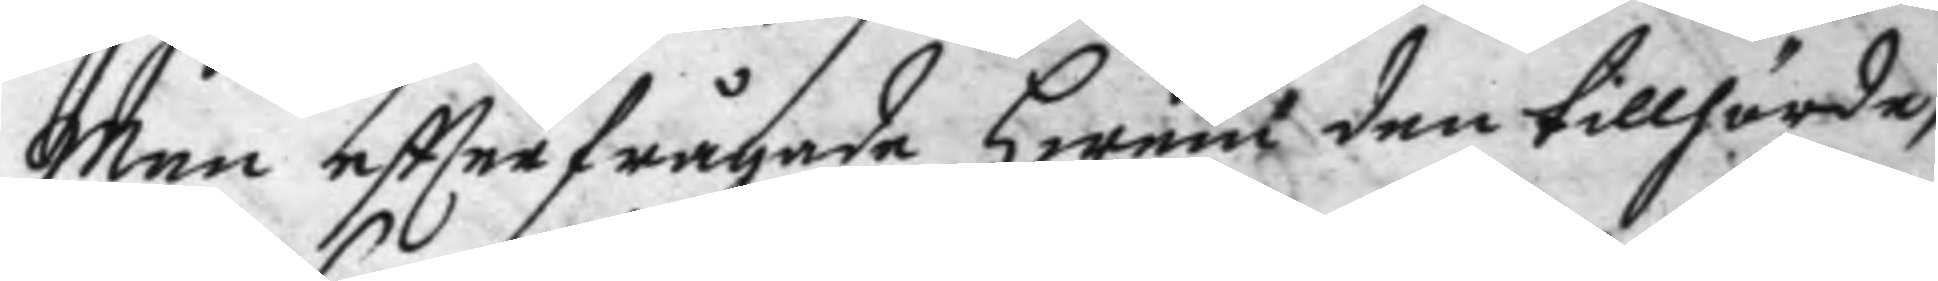man eftterfrågade hwem den tillhörde,
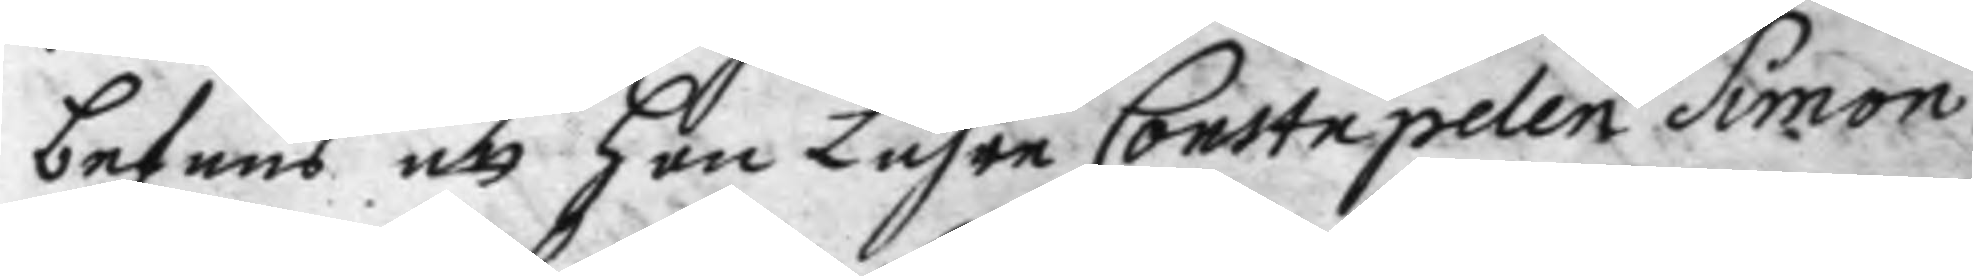befans att hon Lähre Constapelen Simon
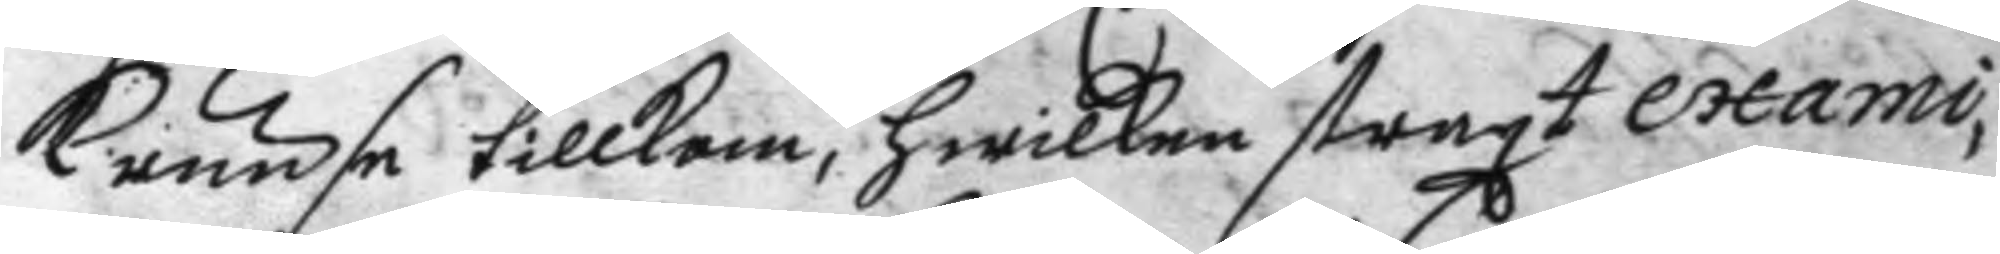Kruuse tillkom,hwilken straxt exami¬
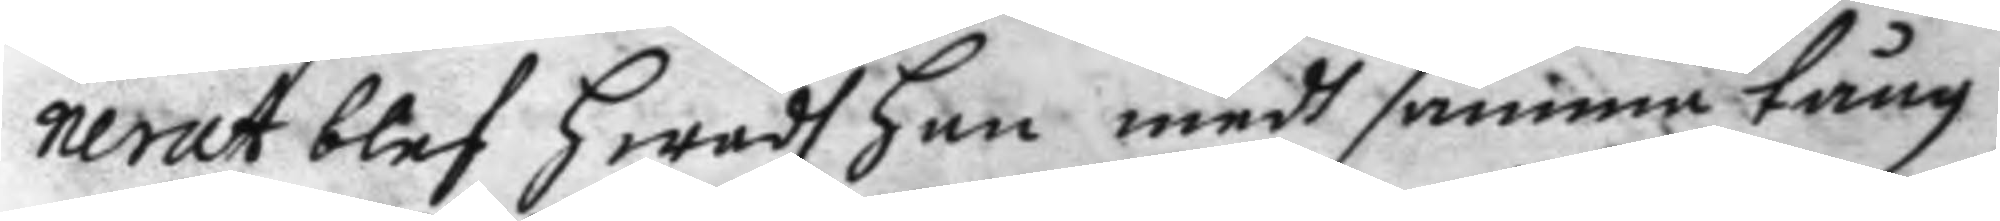nerat blef hwadh han medh samma tång
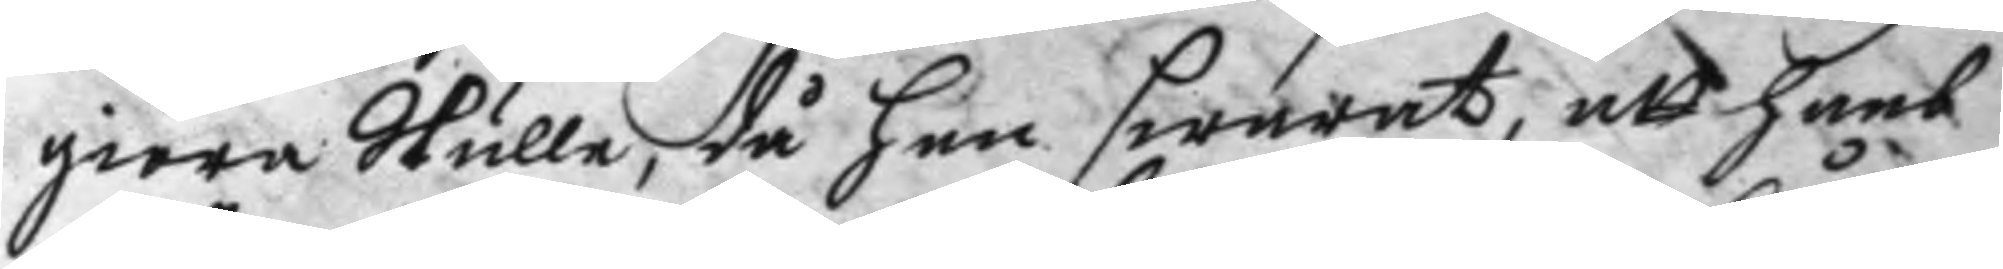giöra Skulle, då han swarat, att hans
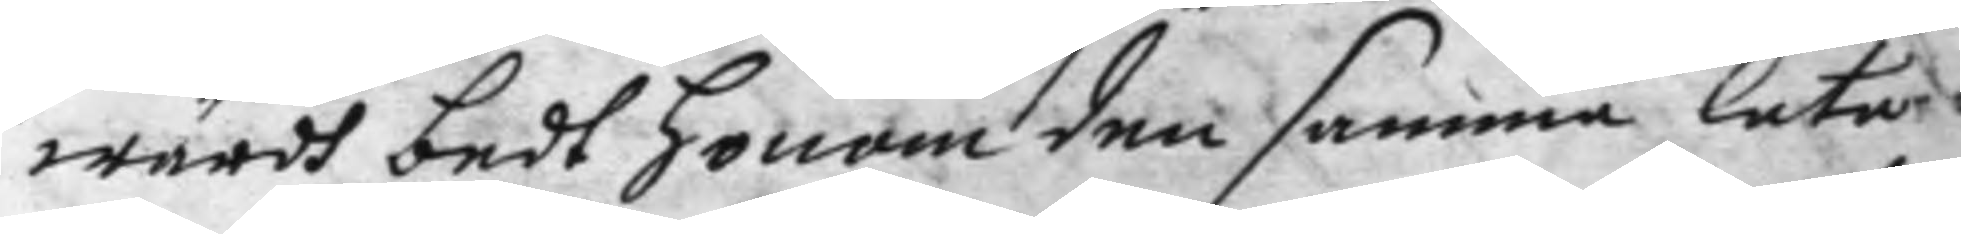wärdh bedt honom den samma låta
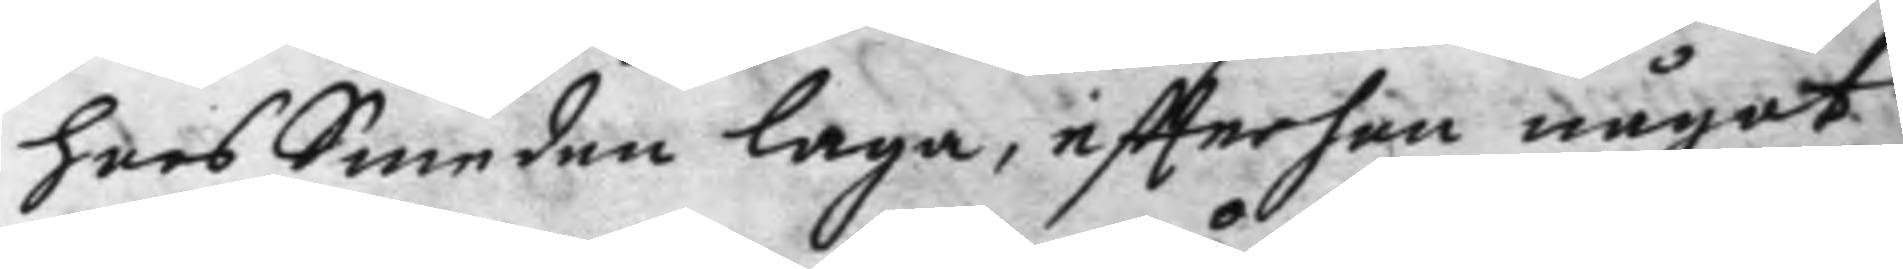hoos Smeden laga, eftter han något
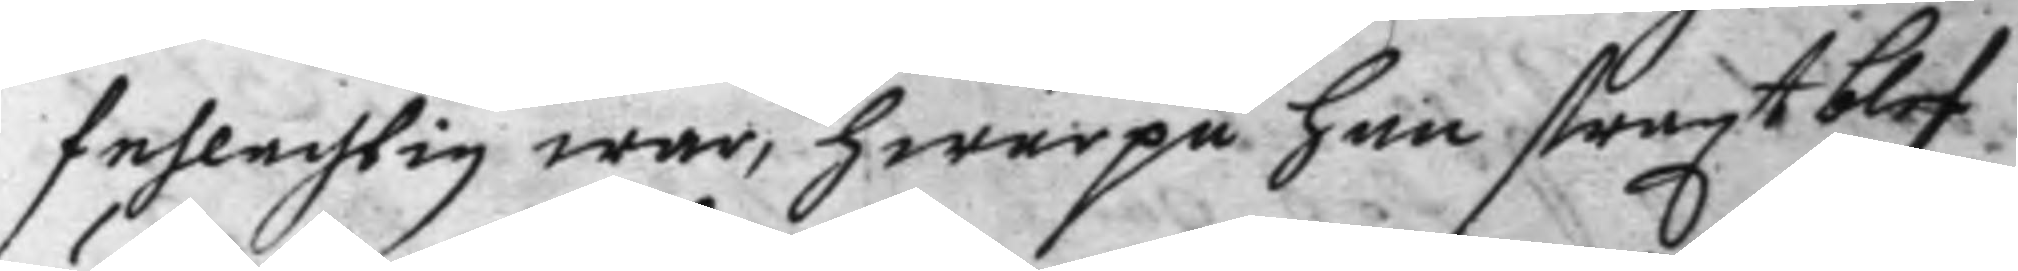fehlachtig war, hwarpå han straxt blef
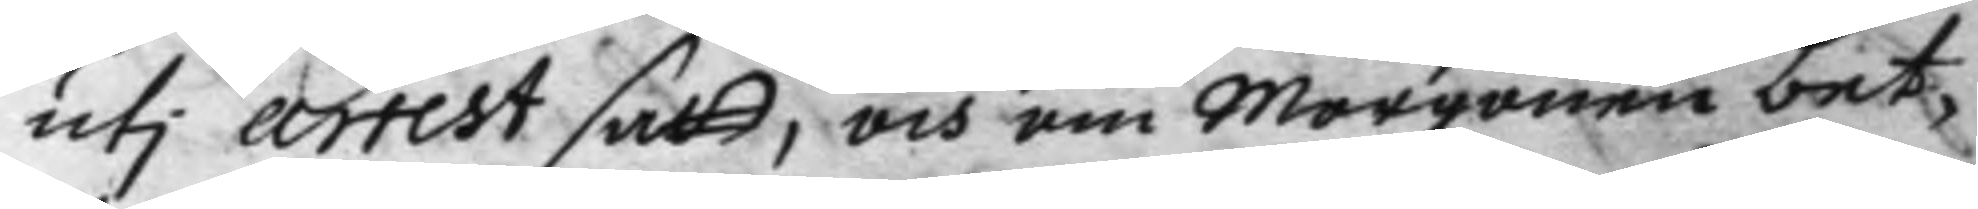uti arrest satt, och om morgonen bet¬
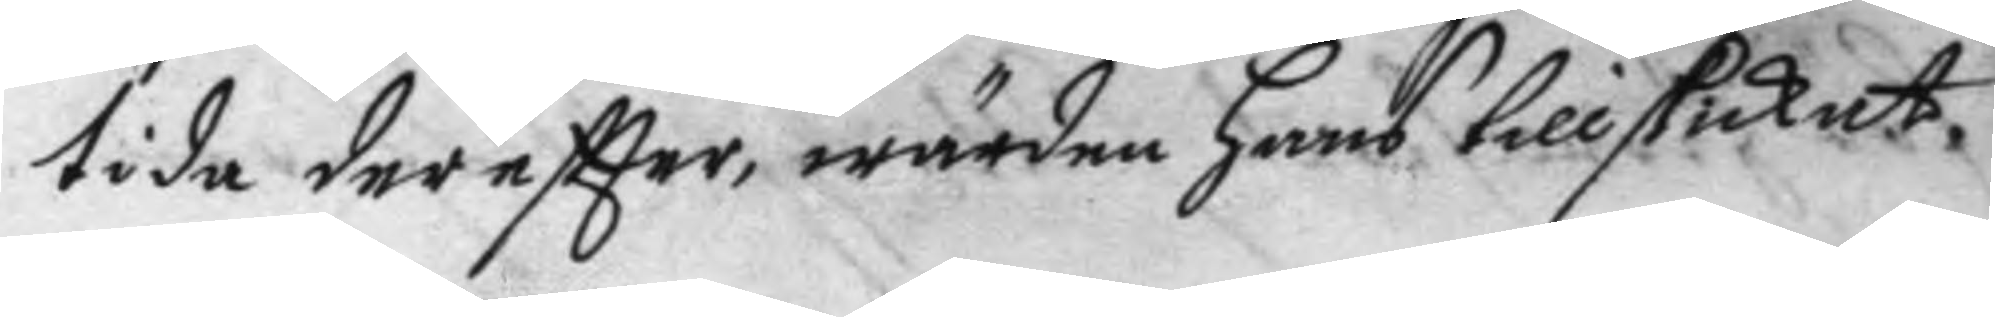tida dereftter, wärden hans tillskickat
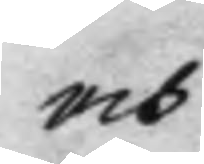och
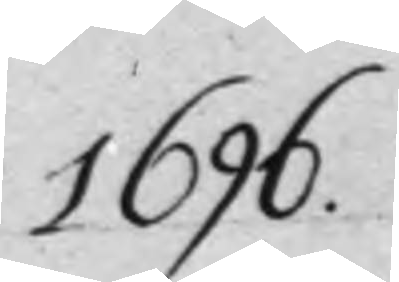1696.
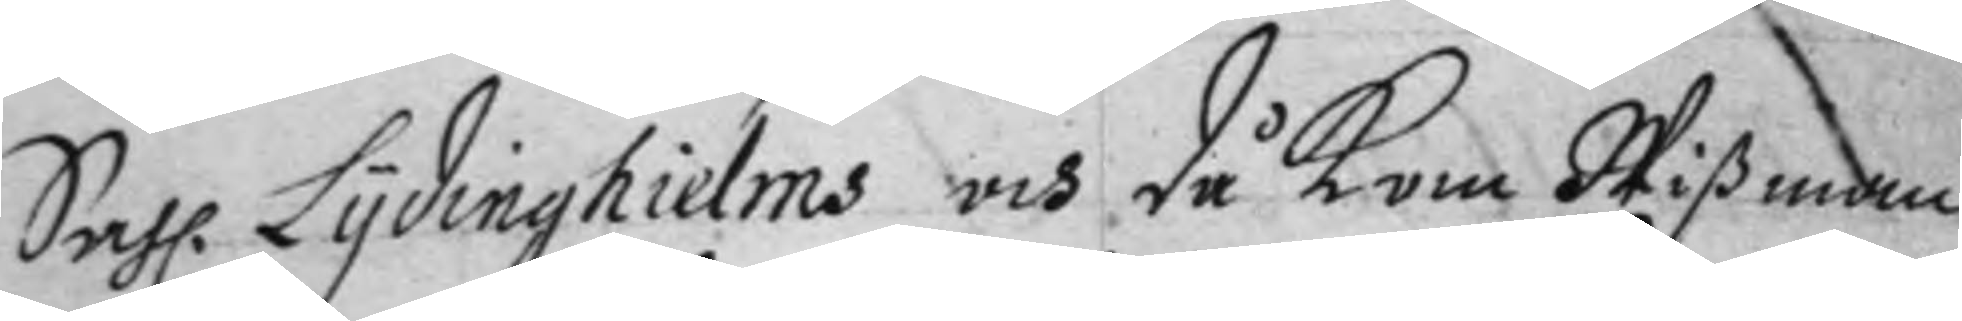Sahl. Lydinghielms och då kom Wißman
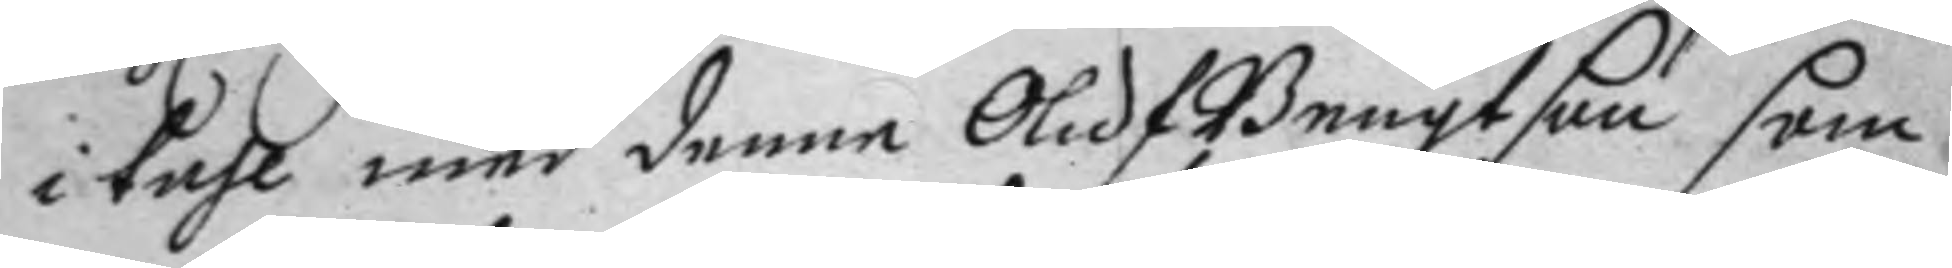i tahl med denne Oluf Bengtson som
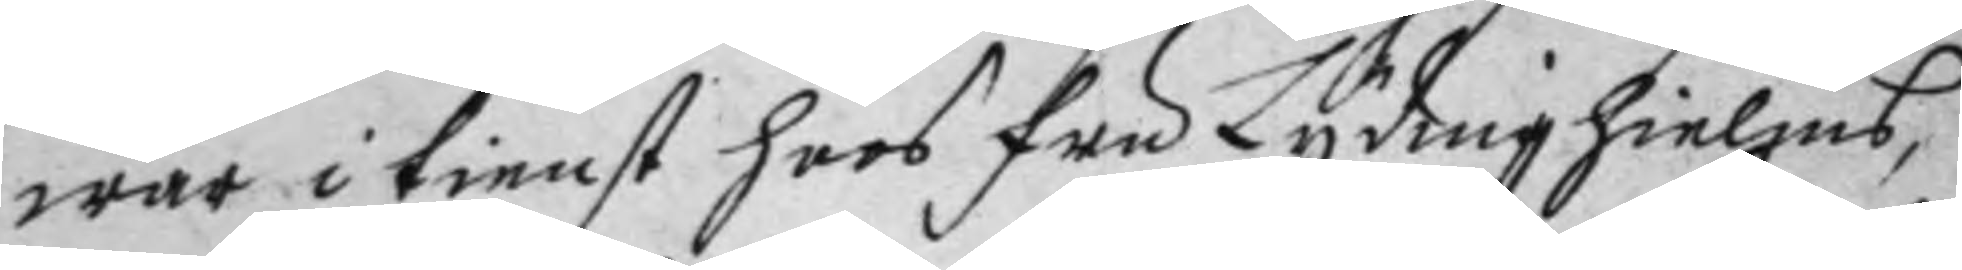war i tienst hoos Fru Lydinghielms,
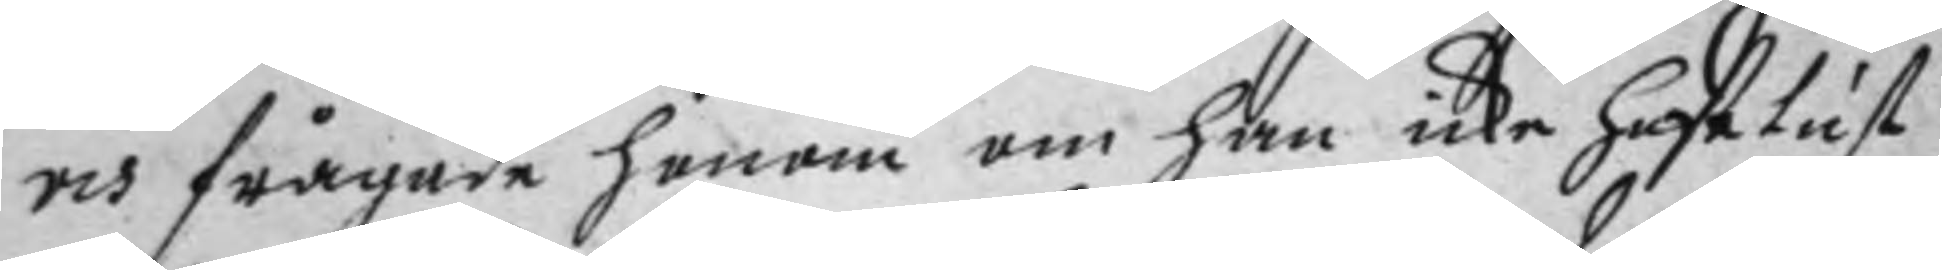och frågade henne om han icke hafe lust
